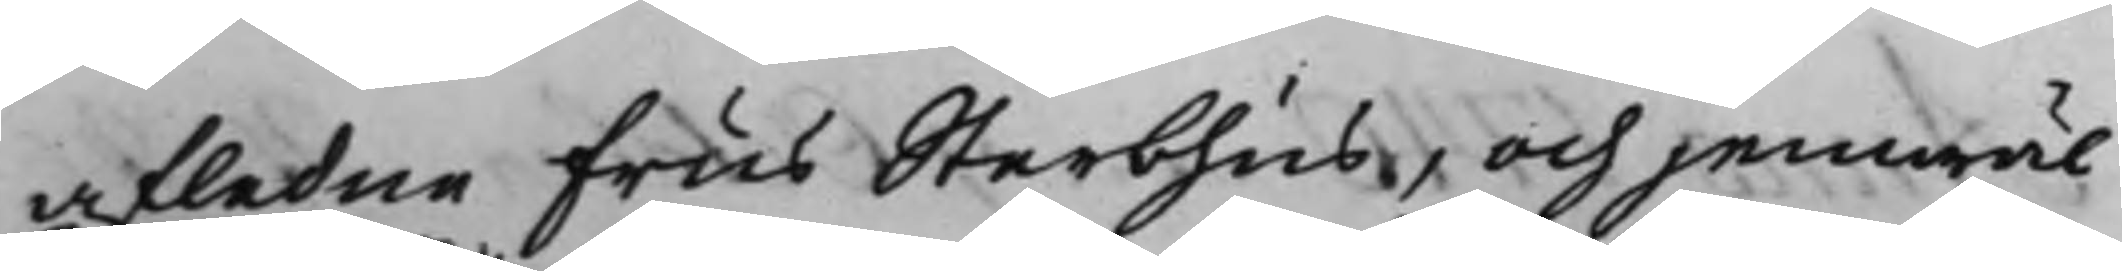afledne Frus Sterbhus, och jemwäl
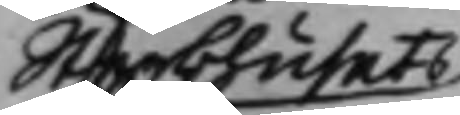Sterbhusets
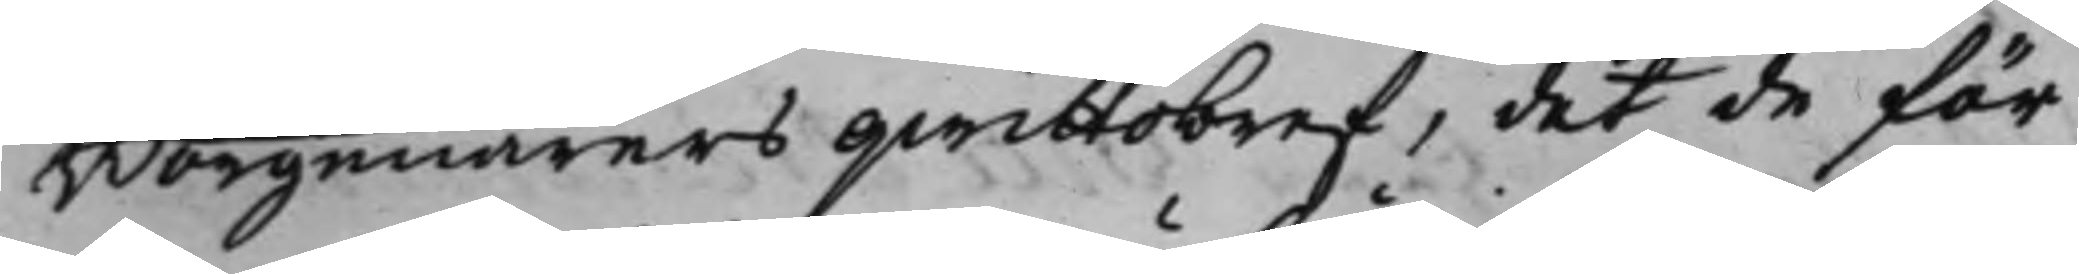Borgenärers qwittobref, det de för
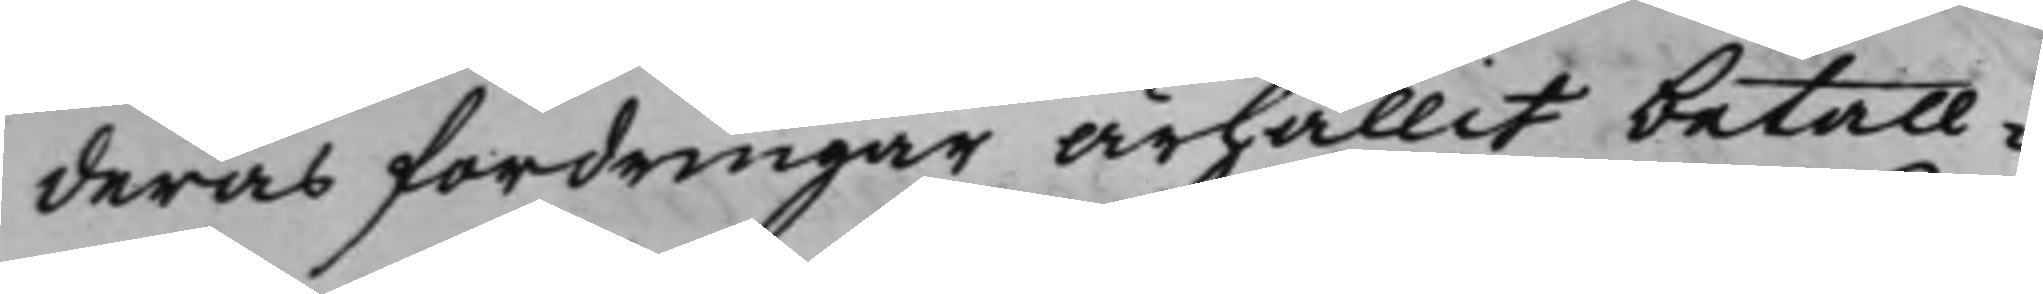deras fordringar ärhållit betall¬
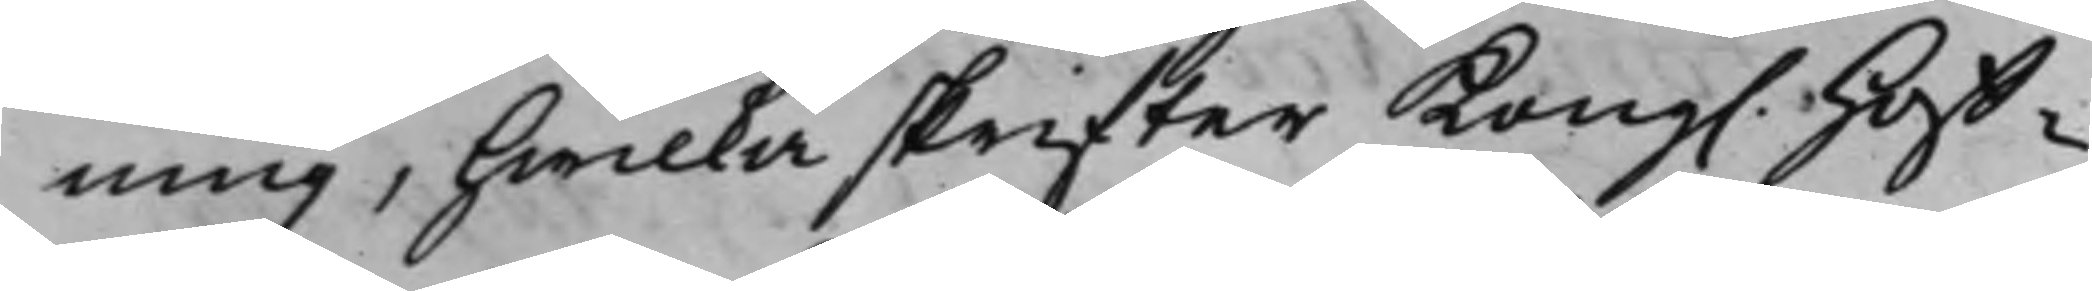ning, hwilka skrifter Kong. Hoff¬
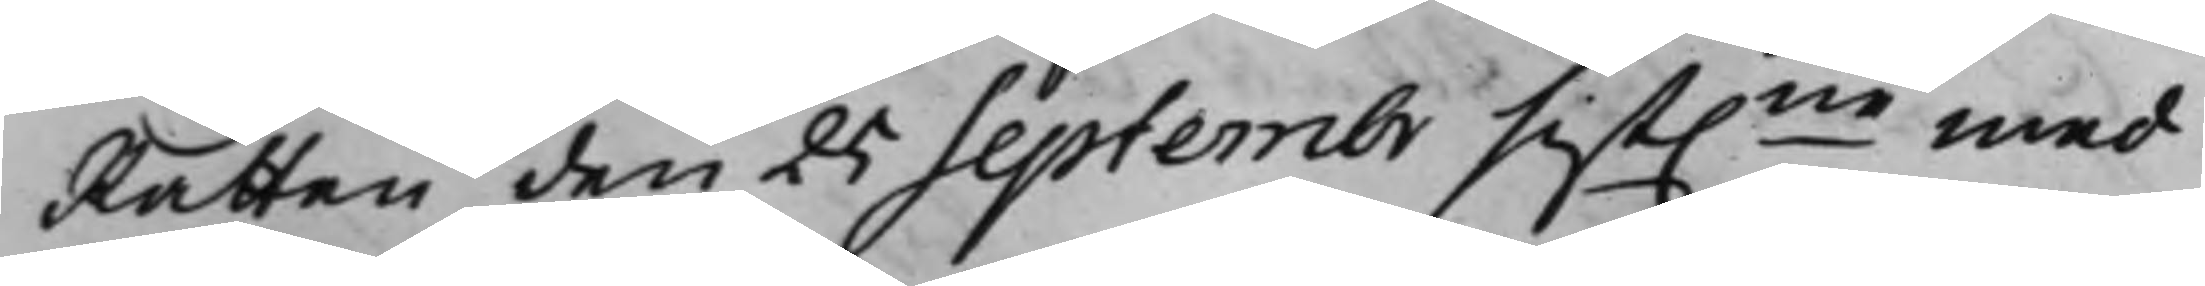Rätten den 25 Septembr sist.ne med
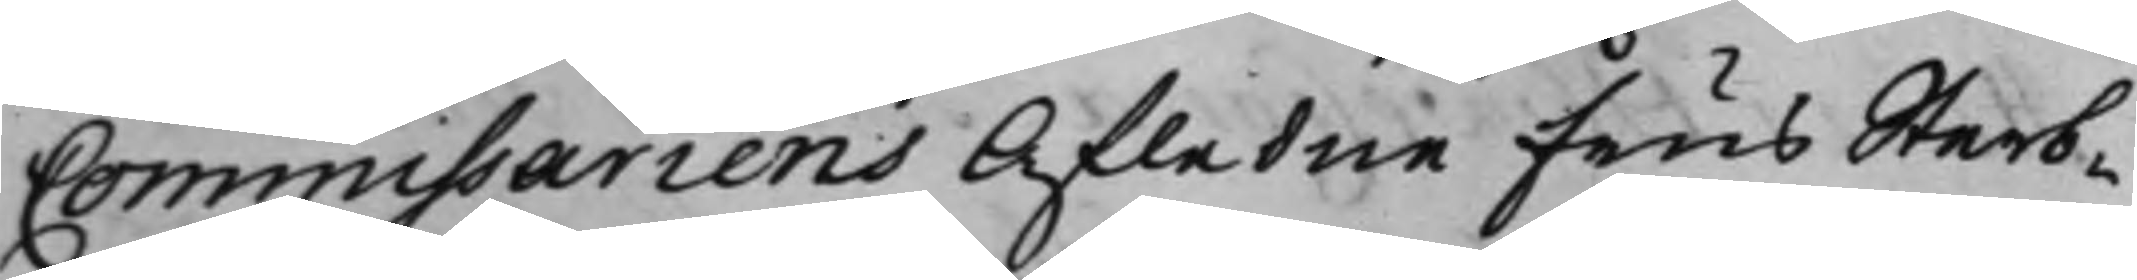Commissariens Afledne Frus Sterb¬
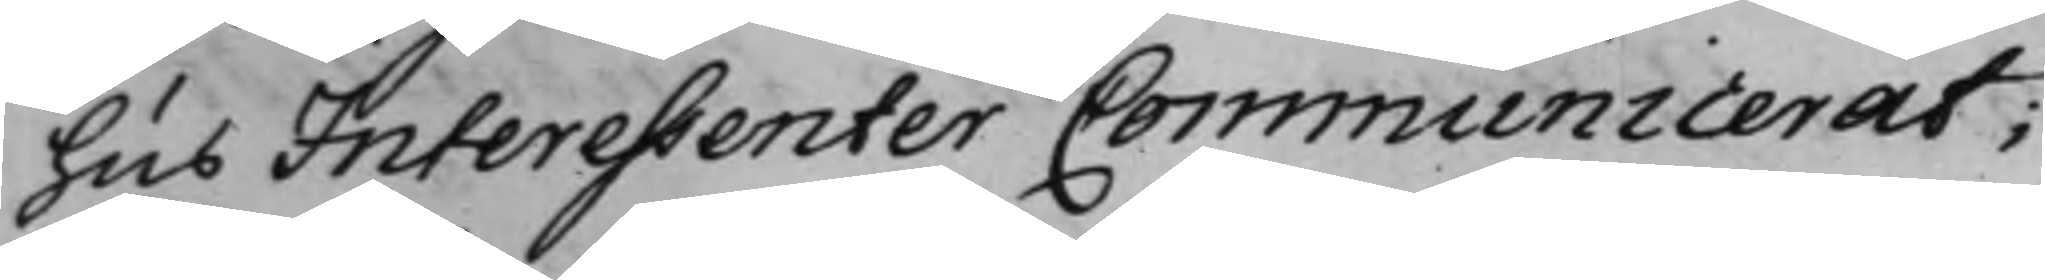hus Interessenter Communicerat;
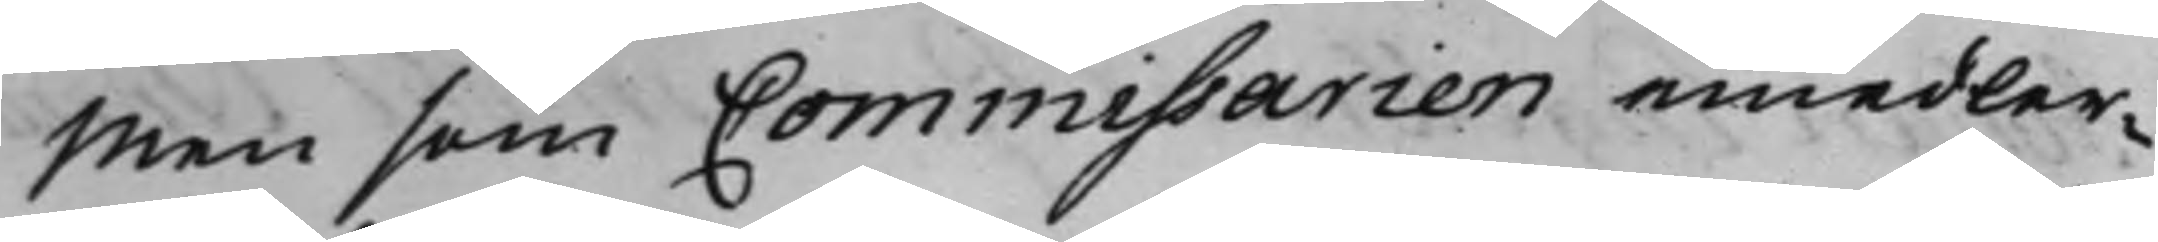Men som Commissarien emedler¬
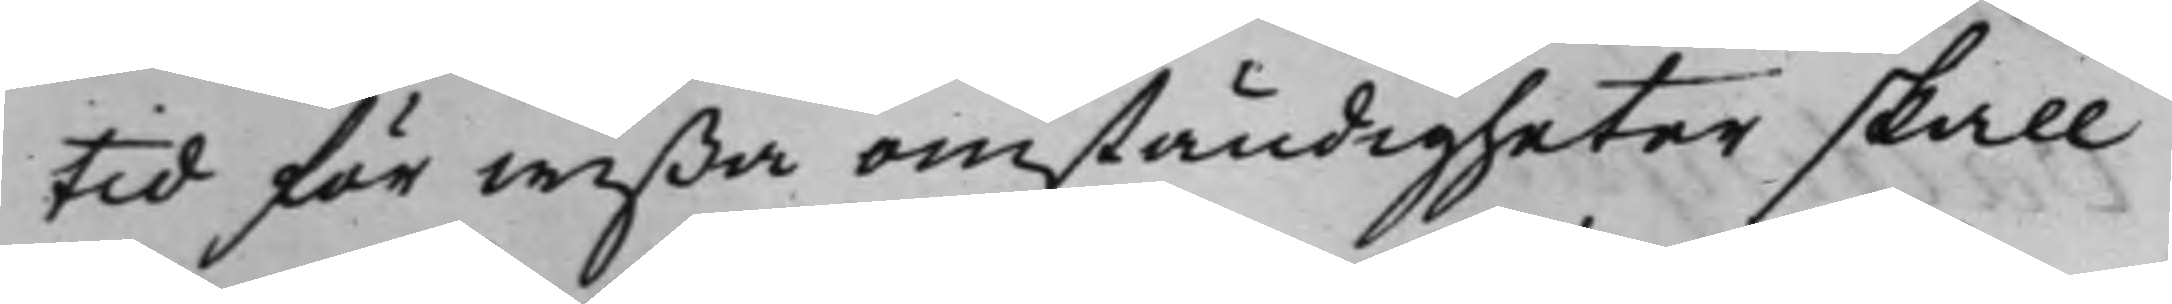tid för wißa omständigheter skall
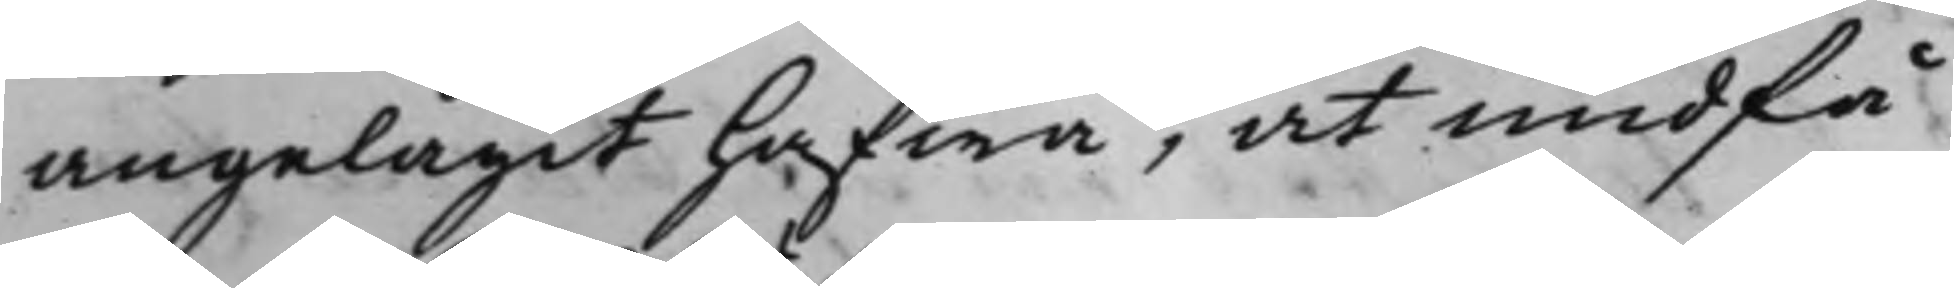angelägit hafwa, at undfå
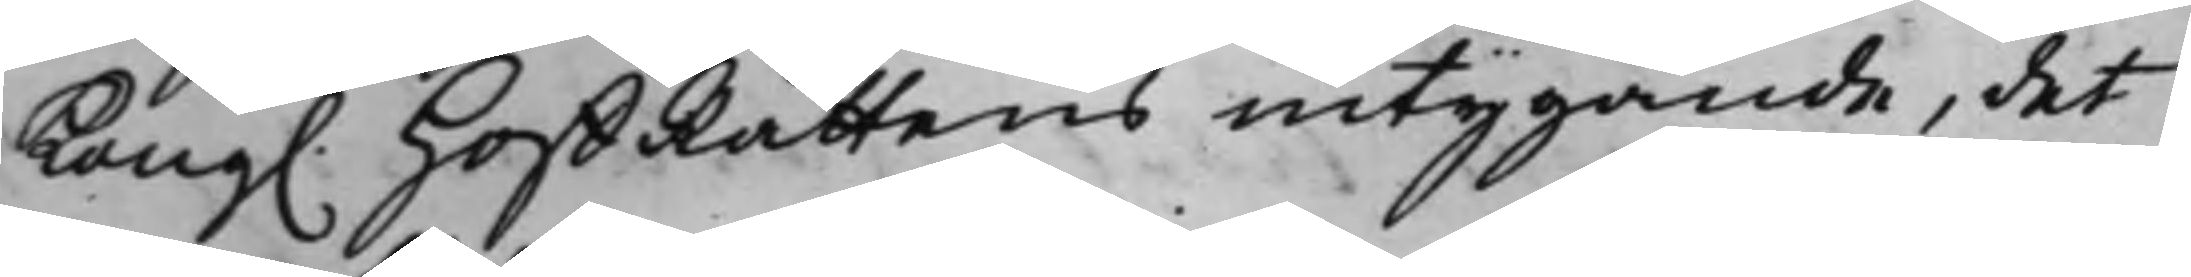Kong. HoffRättens intygande, det
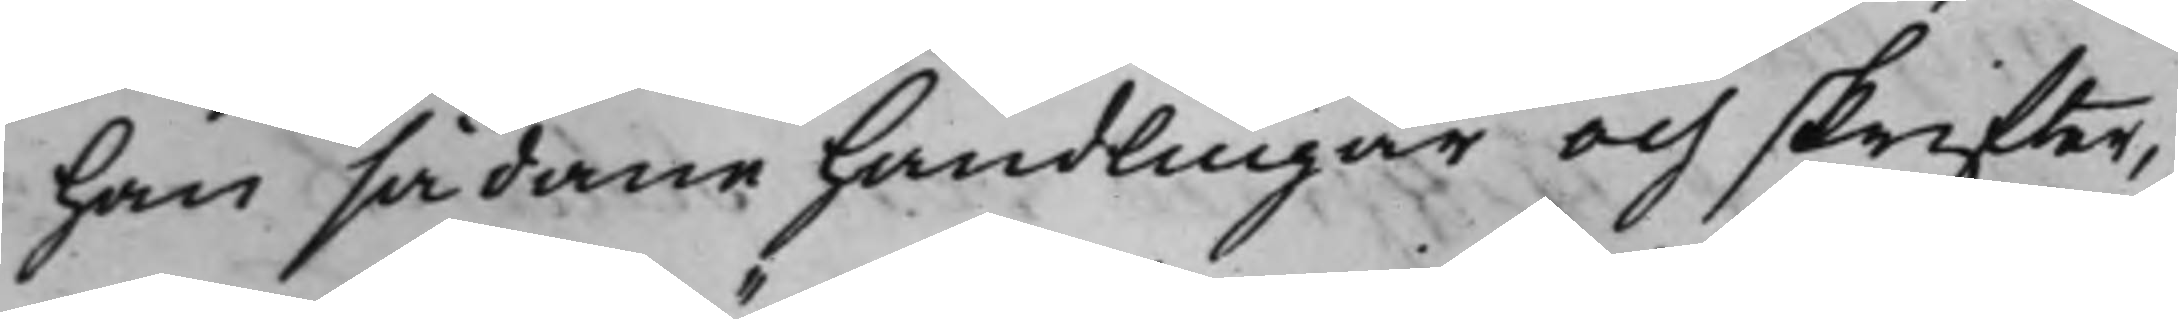han sådane handlingar och skrifter,
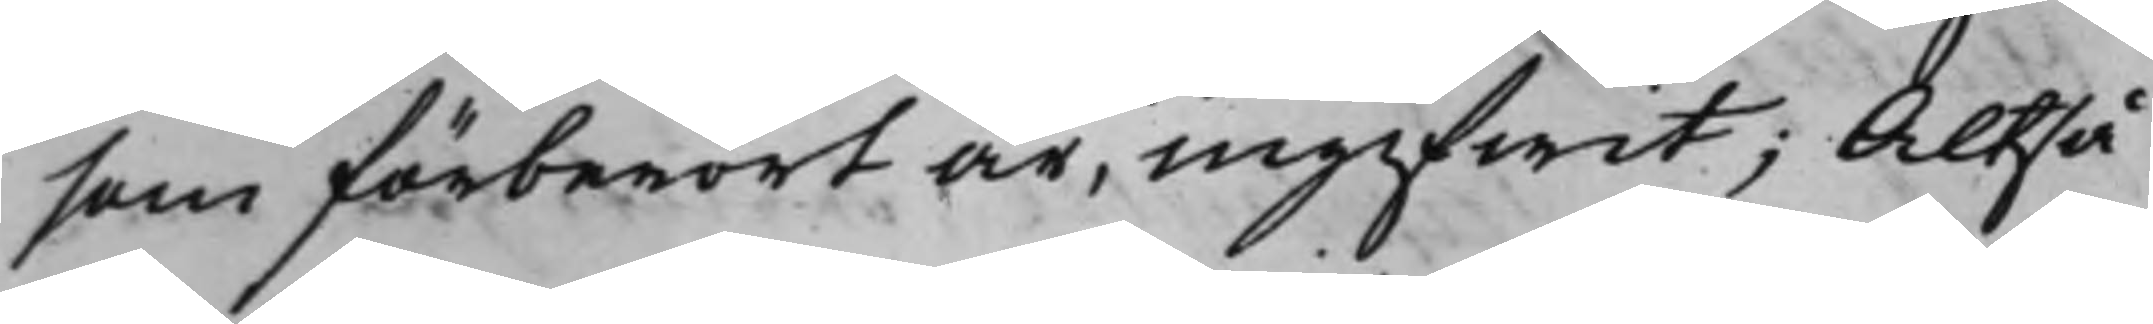som förberört är, ingifwit; Altså
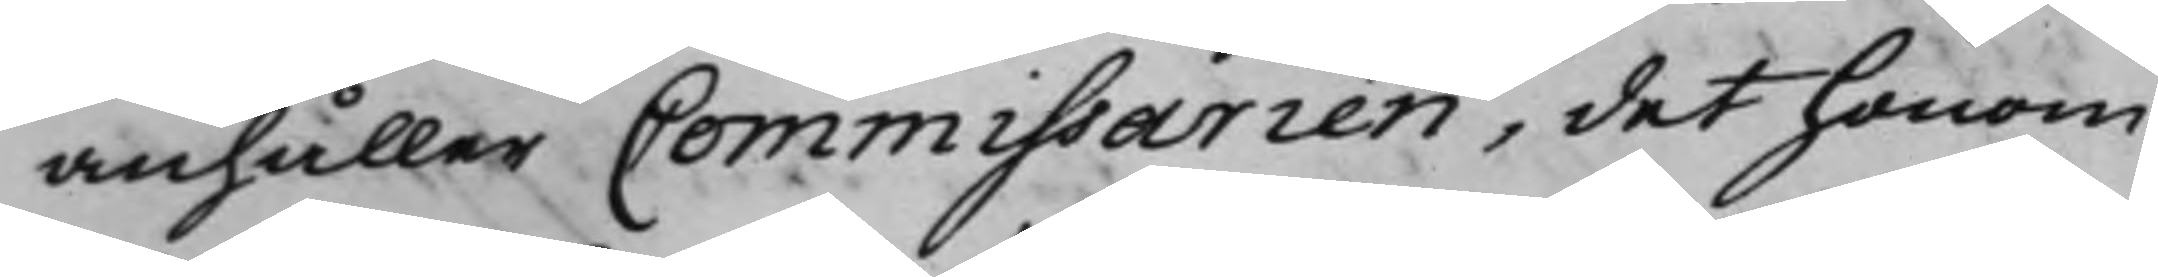anhåller Commissarien, det honom
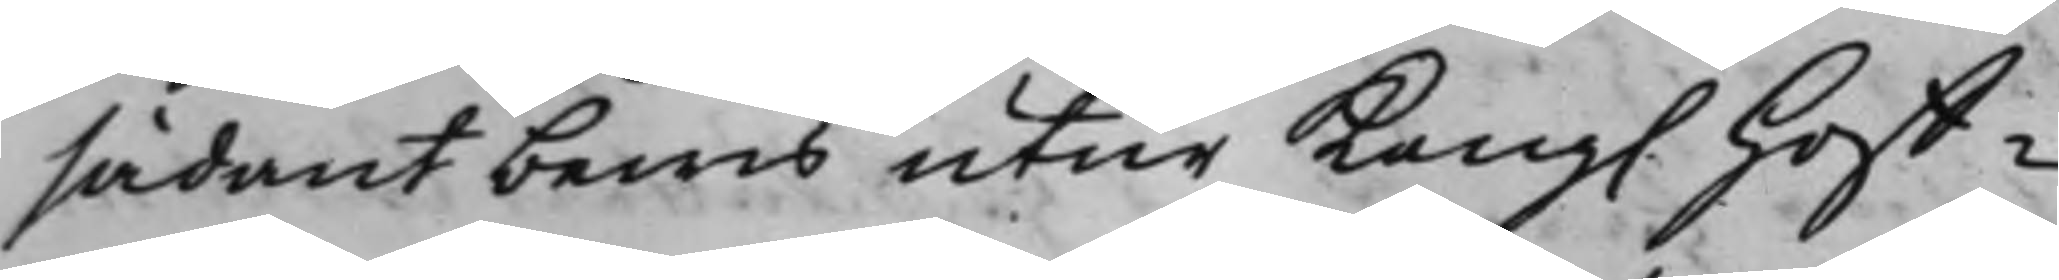sådant bewis utur Kong. Hoff¬
